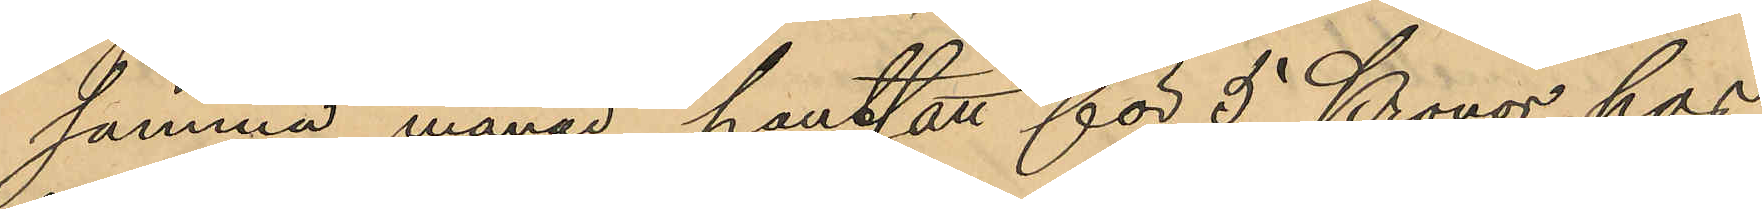samma månad pantsatt för 5 Kronor hos
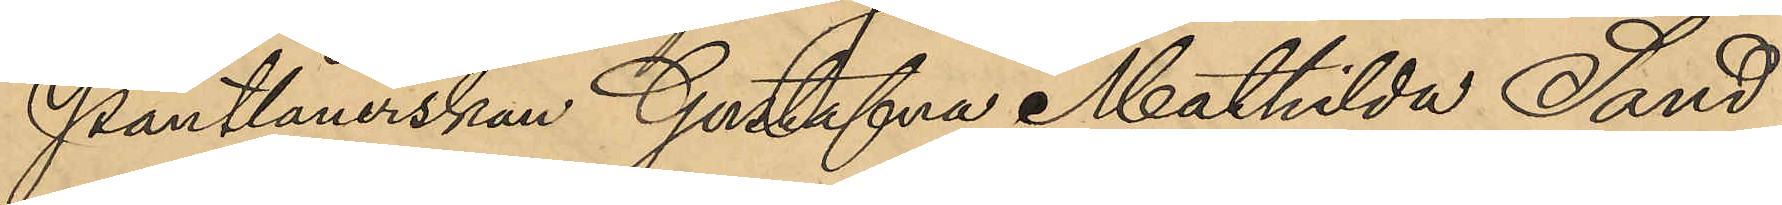Pantlånerskan Gustafva Mathilda Sand
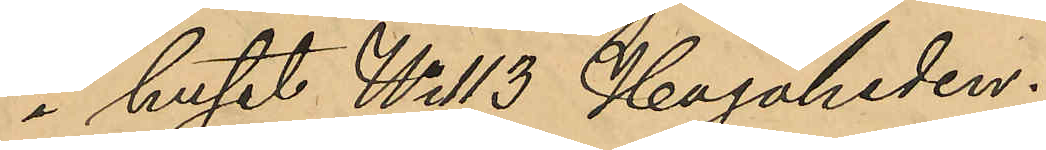i huset No 113 Hagaheden.
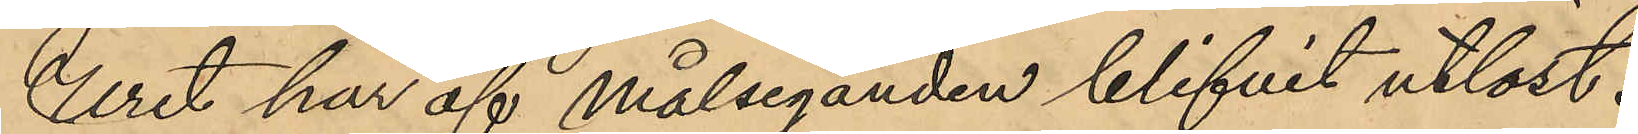Uret har af Målseganden blifvit utlöst.
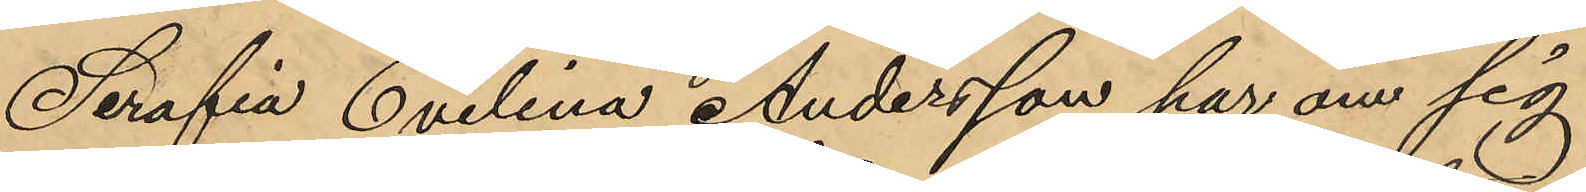Serafia Evelina Andersson har om sig
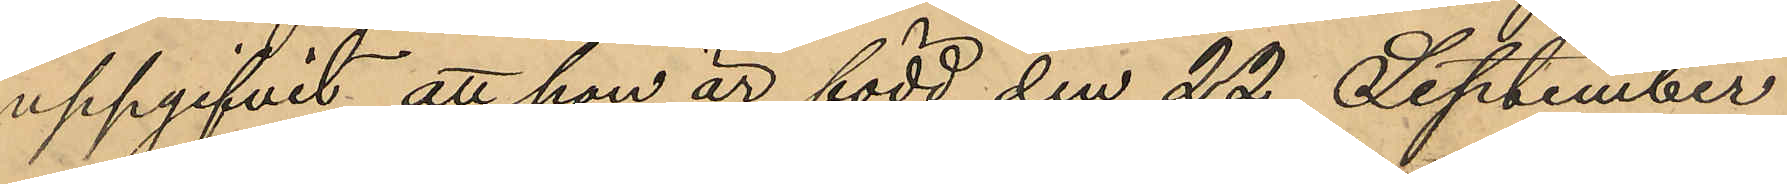uppgifvit, att hon är född den 22 September
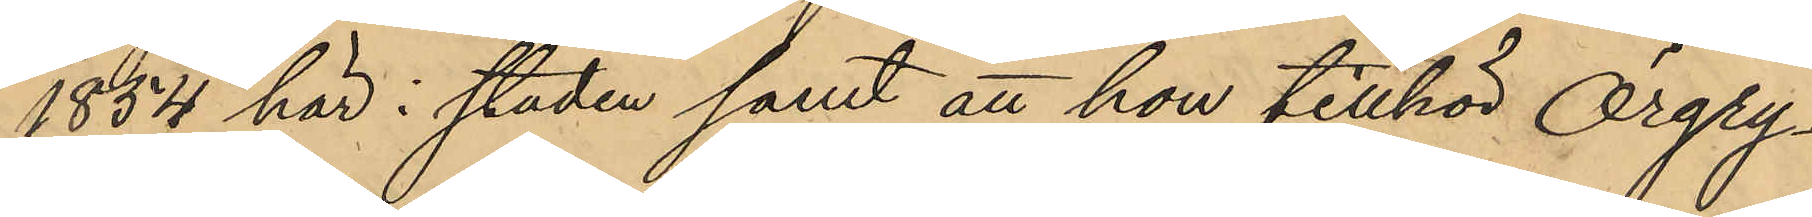1854 här i staden samt att hon tillhör Örgry¬
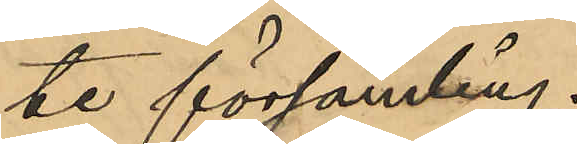te församling.
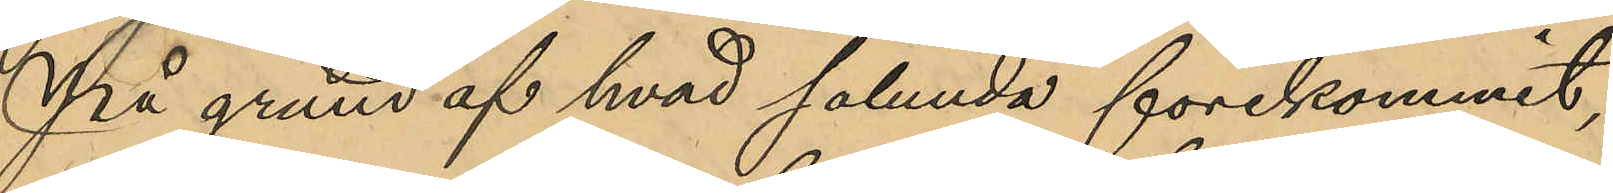På grund af hvad sålunda förekommit,
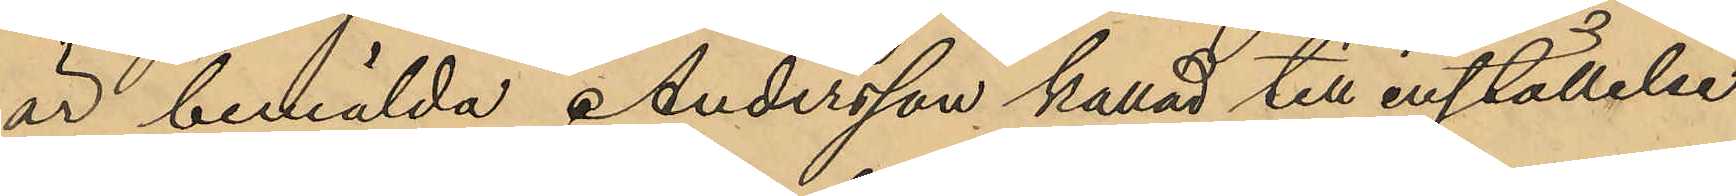är bemälda Andersson kallad till inställelse
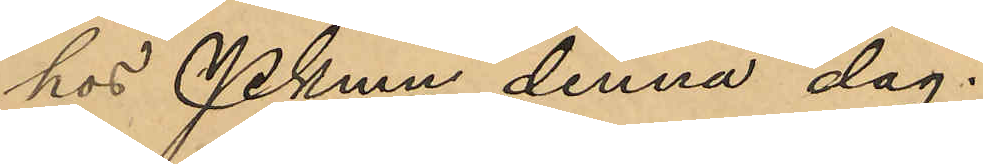hos Pkmn denna dag.
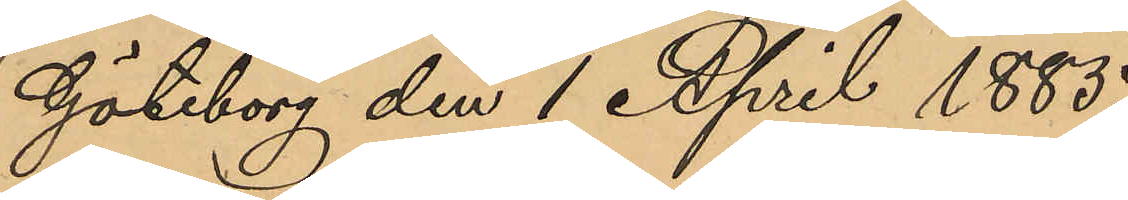Göteborg den 1 April 1885.
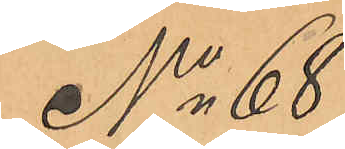No 68
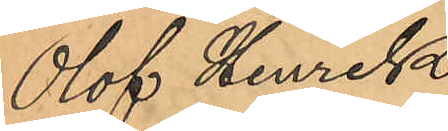Olof Henrik
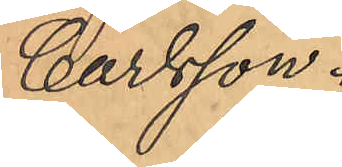Carlsson.
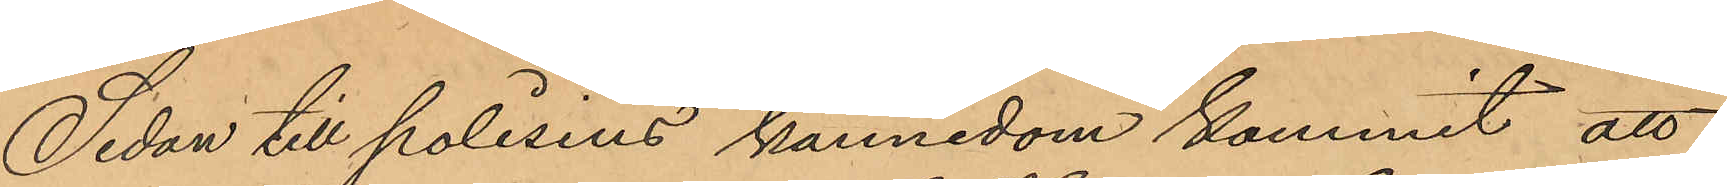Sedan till polisens kännedom kommit att
